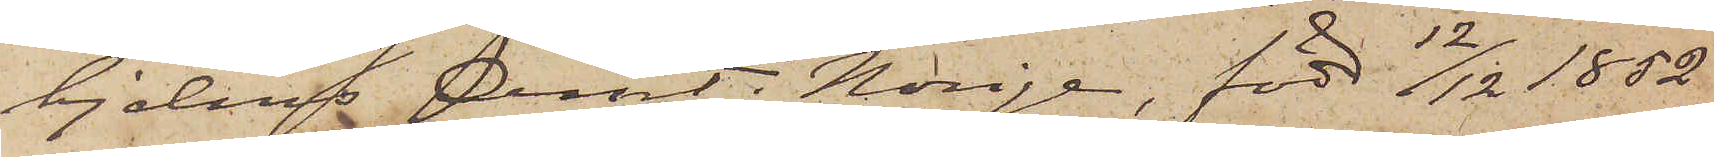hjelms Amt i Norige, född 12/12 1852
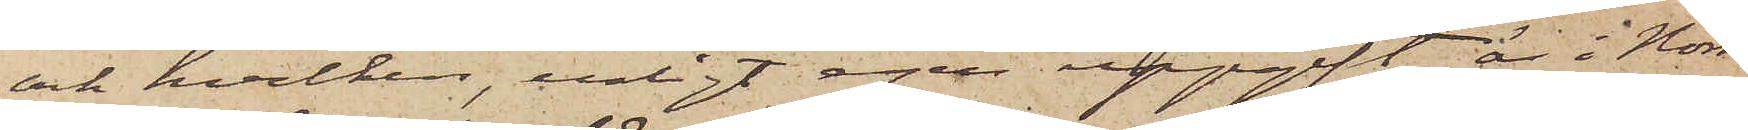och hvilken, enligt egen uppgift, är i Nor¬
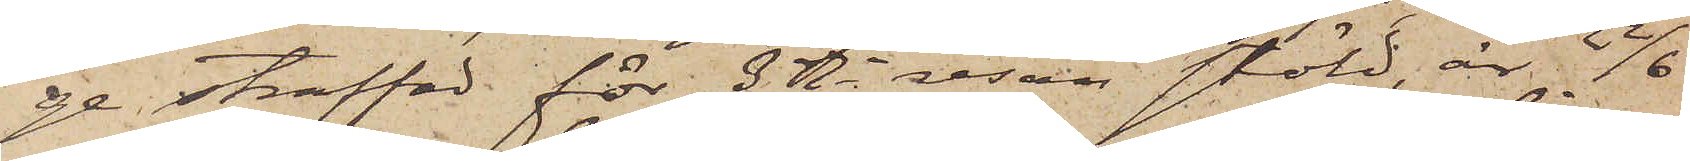ge straffad för 3dje resan stöld, är 22/6
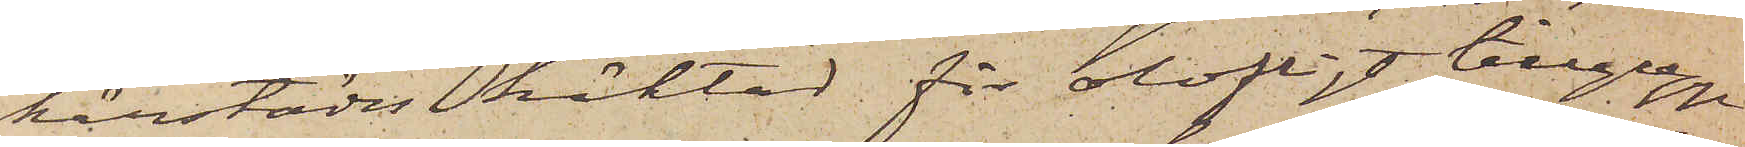härstädes häktad för olofligt tillgrepp
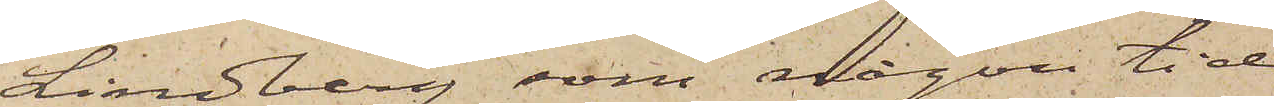Lindberg som någon tid
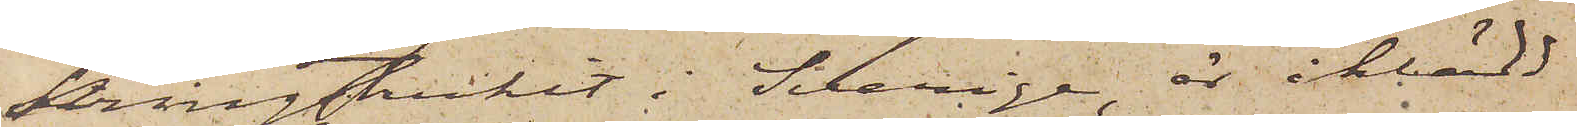kringstrukit i Sverige, är iklädd
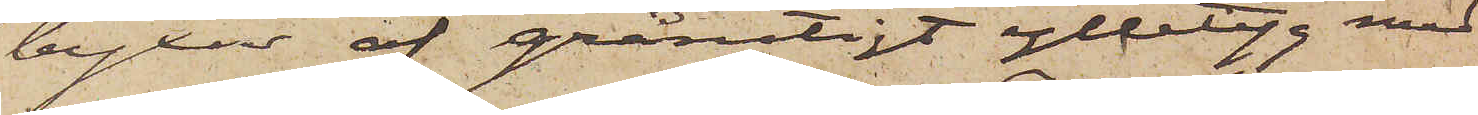byxor af grårutigt ylletyg med
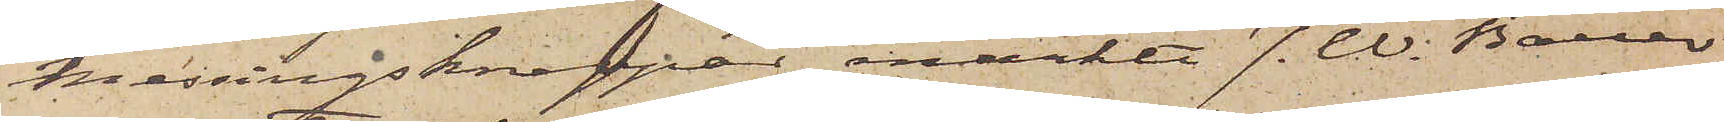messingsknappar, märkt J. W. Bauer
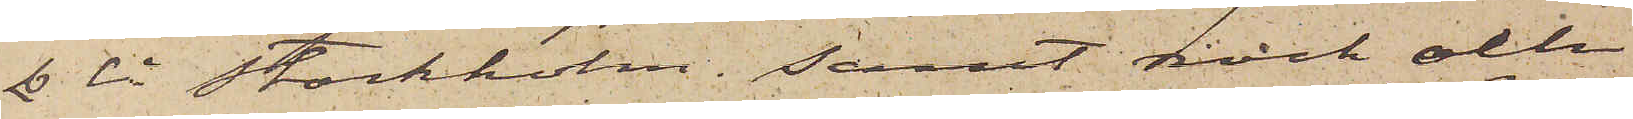& Ci Stockholm; samt rock eller
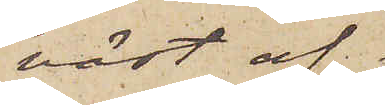väst af
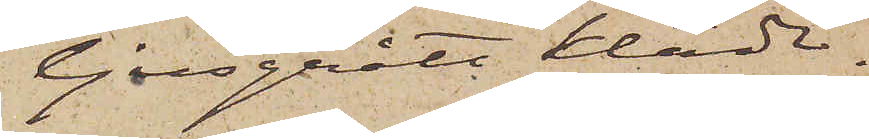ljusgrått kläde.
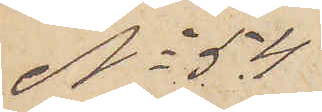No 54
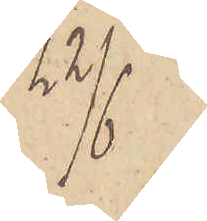22/6
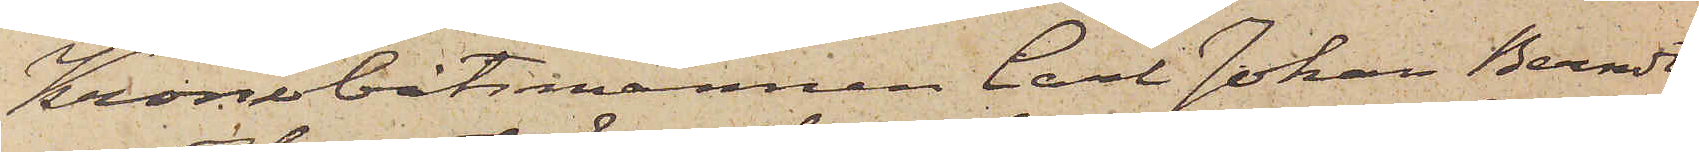Kronobåtsmannen Carl Johan Berndts¬
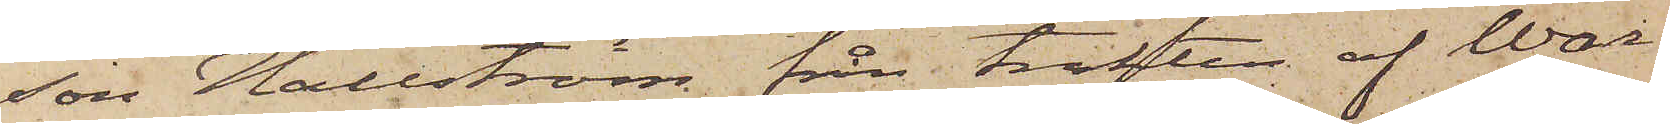son Hallström från trakten af War¬
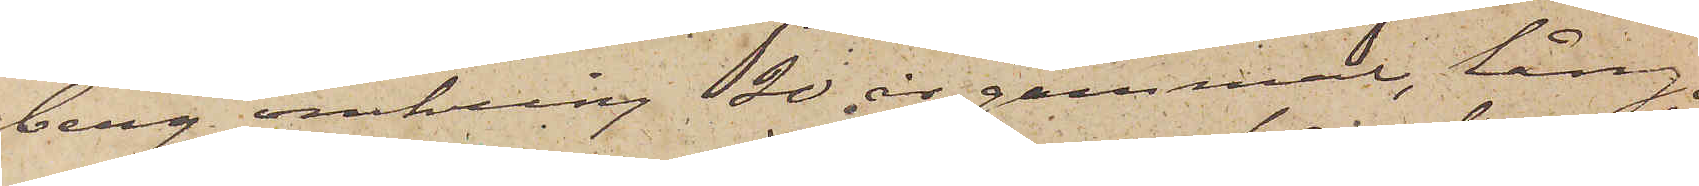berg omkring 20 år gammal, lång,
